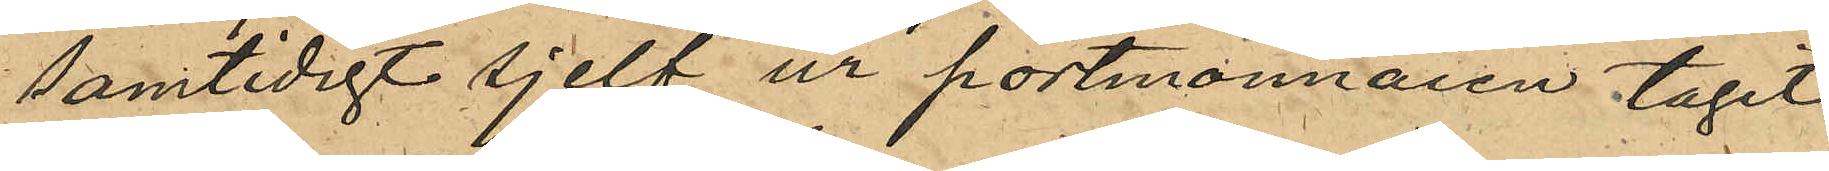samtidigt sjelf ur portmonnaien tagit
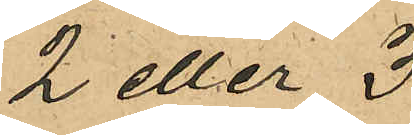2 eller 3
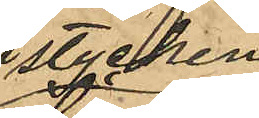stycken
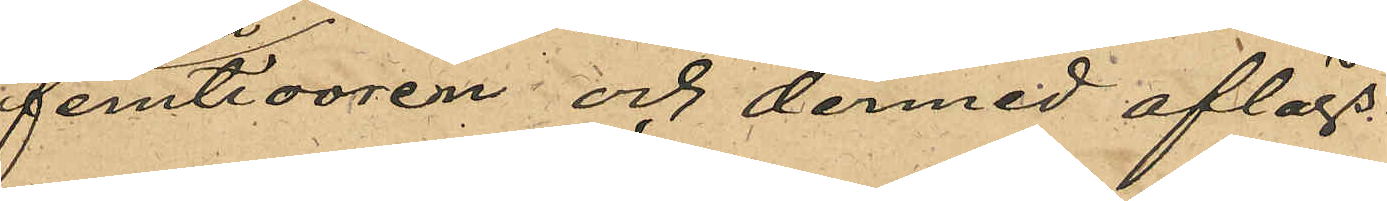femtiooren och dermed aflägs¬
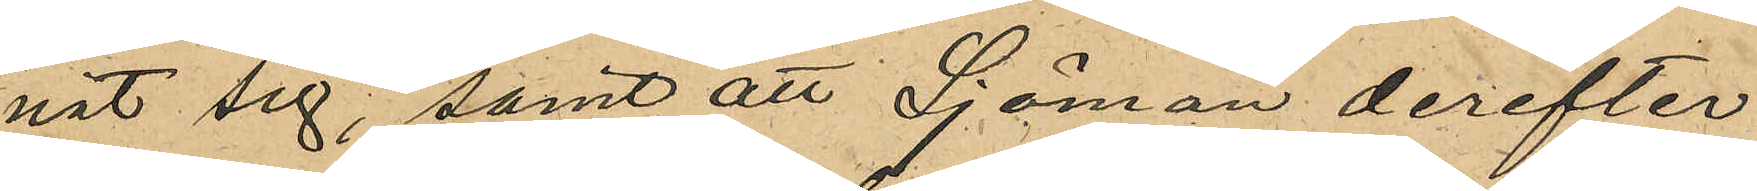nat sig, samt att Sjöman derefter
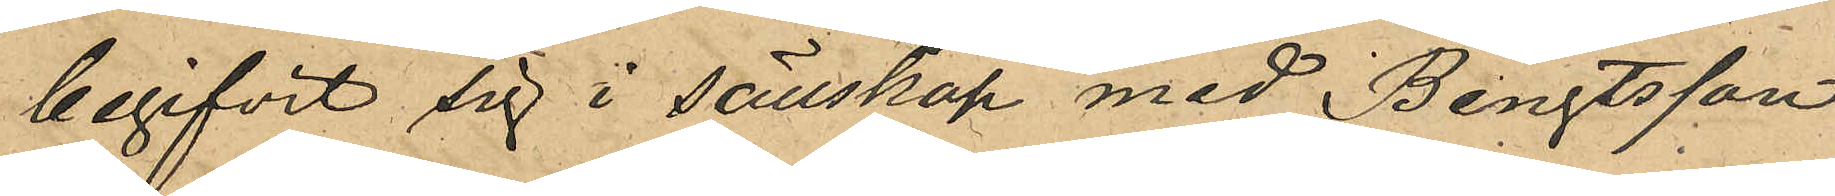begifvit sig i sällskap med Bengtsson
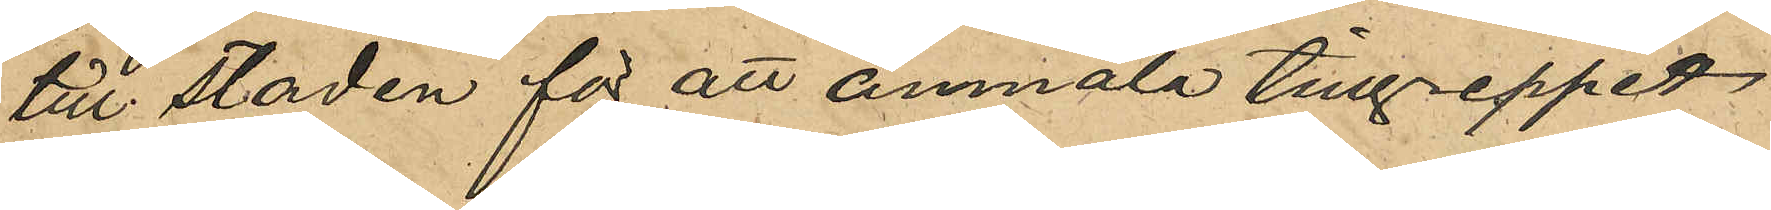till staden för att anmäla tillgreppet.
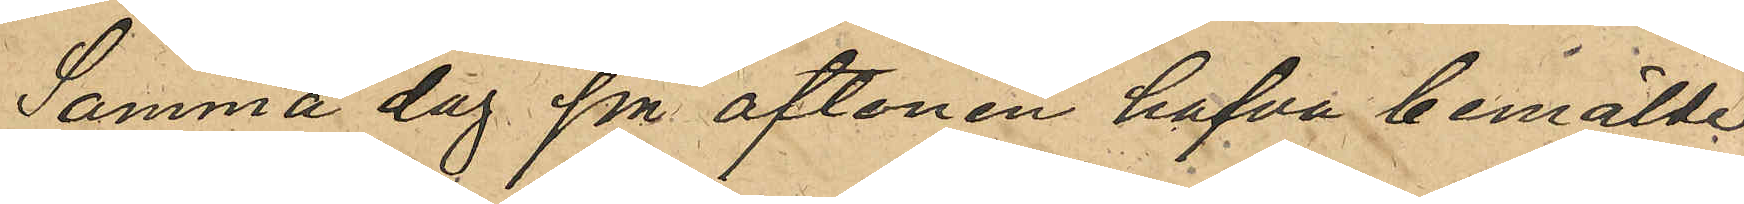Samma dag på aftonen hafva bemälde
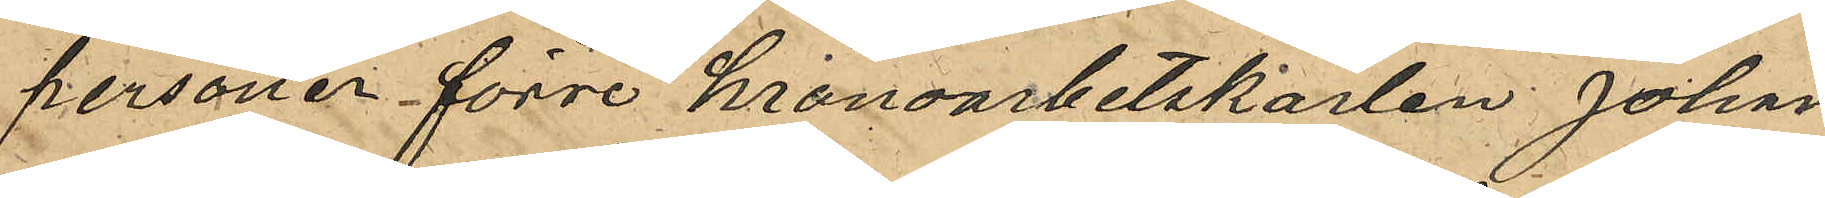personer förre kronoarbetskarlen Johan
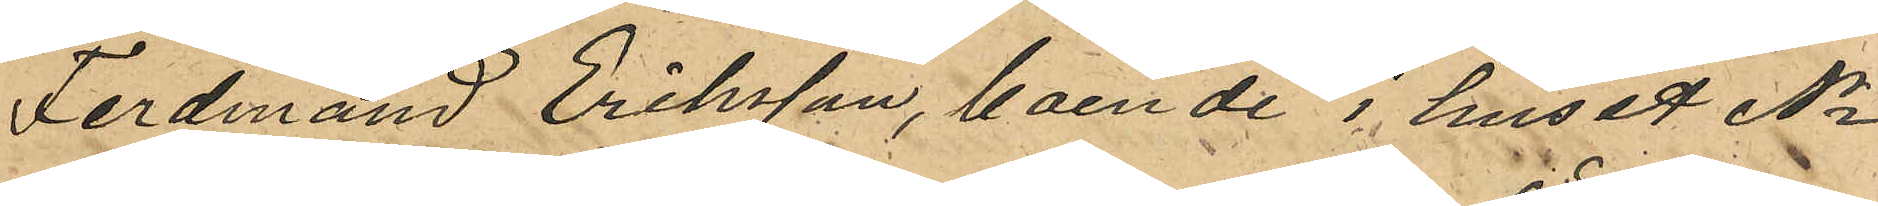Ferdinand Eriksson, boende i huset No
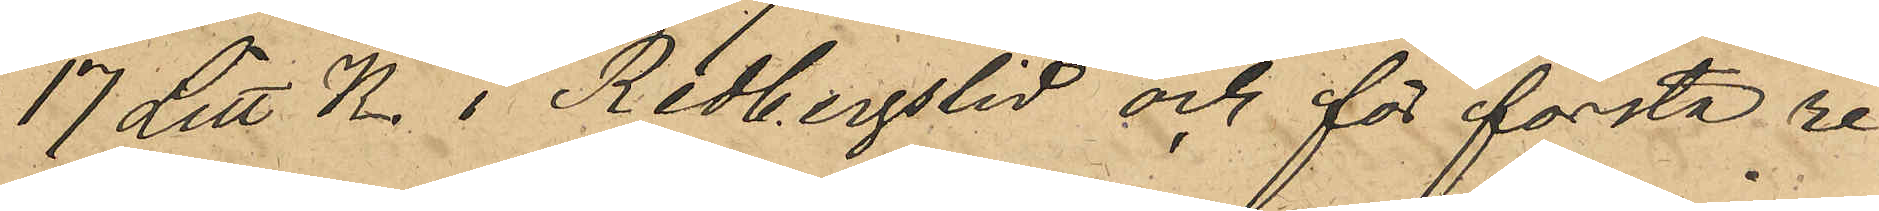17 Litt K. i Redbergslid och för första re¬
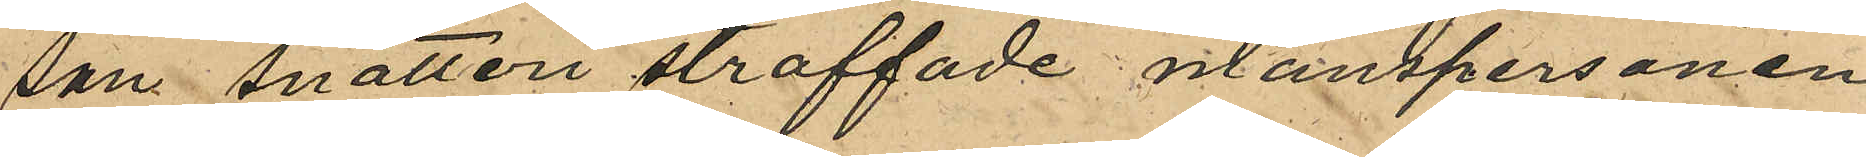san snatteri straffade manspersonen
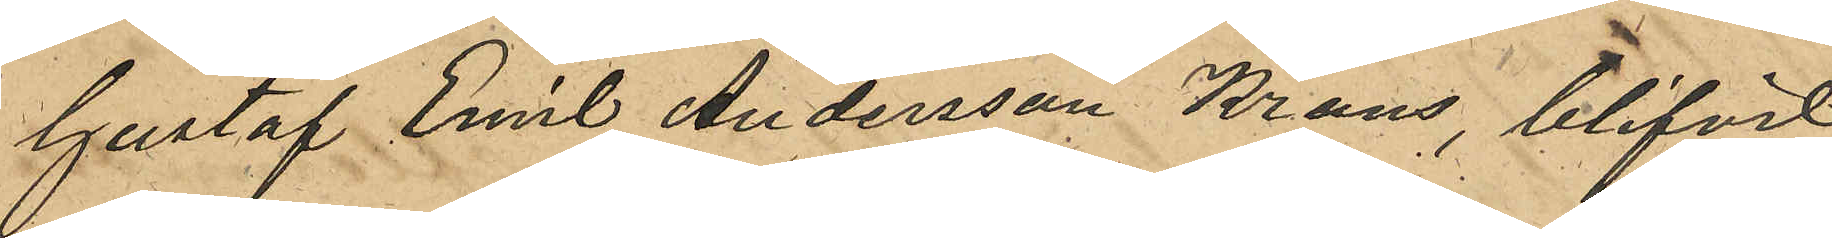Gustaf Emil Andersson Krans, blifvit
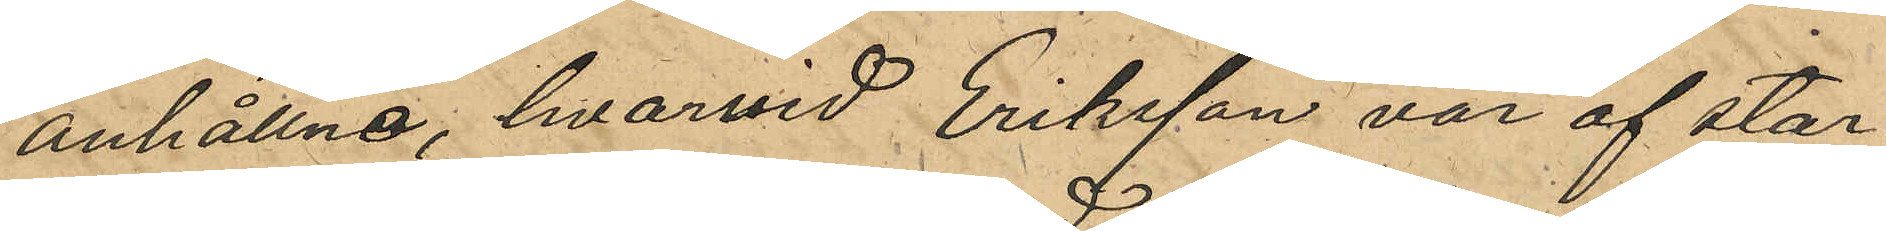anhållne, hvarvid Eriksson var af star¬
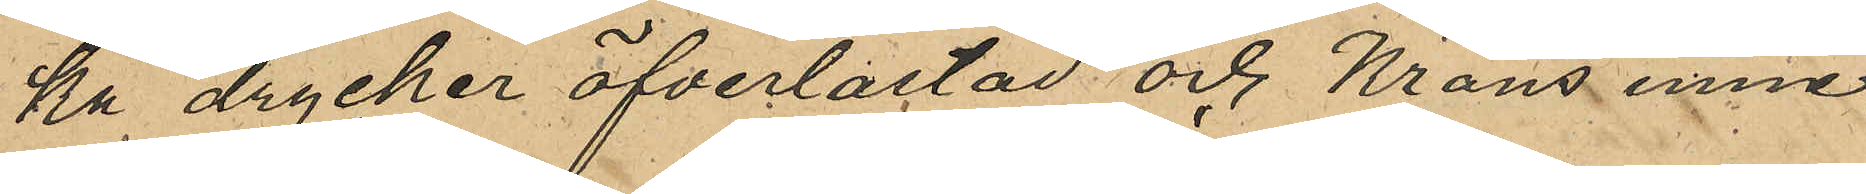ka drycker öfverlastad och Krans inne¬
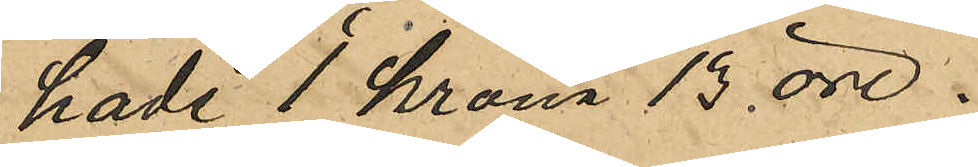hade en krona 13 öre.
